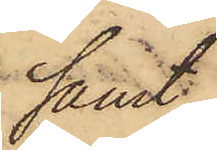samt
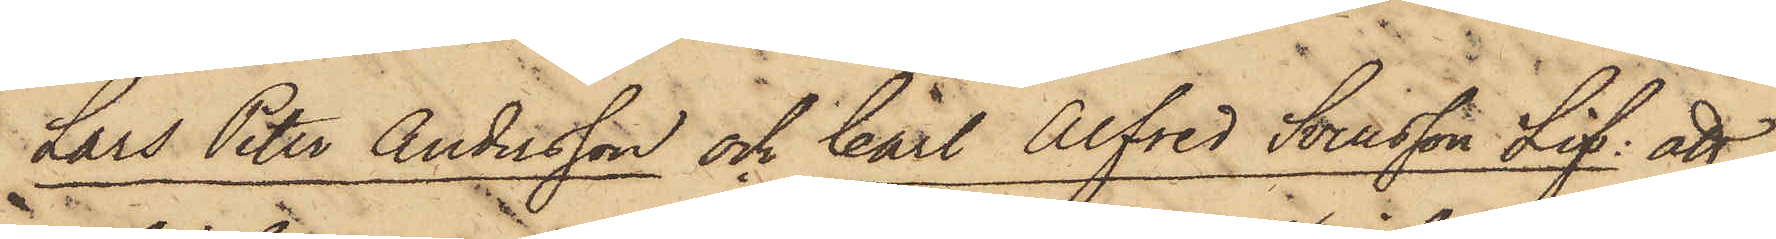Lars Peter Andersson och Carl Alfred Svensson Lif; att
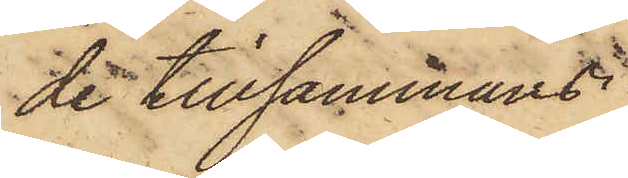de tillsammans
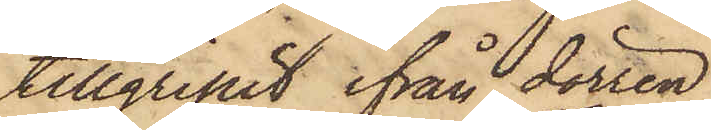tillgripit ifrån dörren
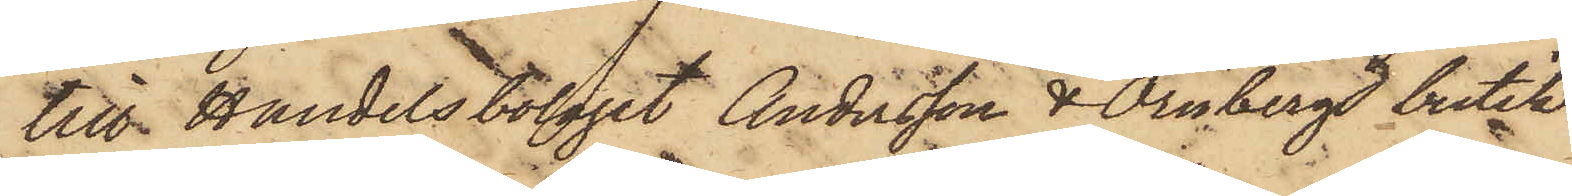till Handelsbolaget Andersson & Örnbergs butik
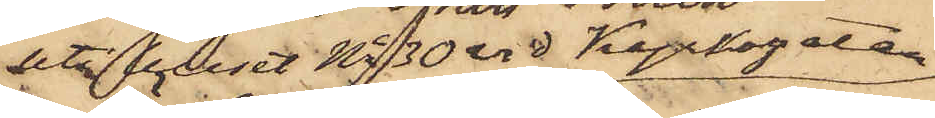uti huset No 30 vid Kyrkogatan,
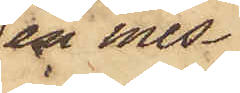en mes¬
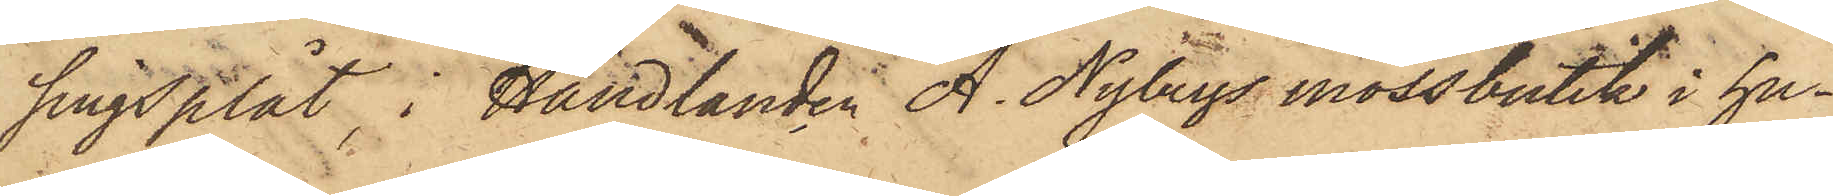singsplåt, i Handlanden A. Nybergs mössbutik i hu¬
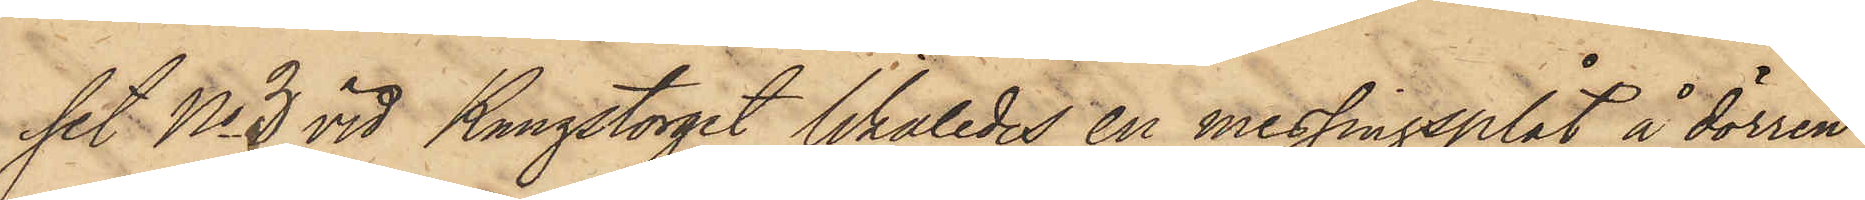set No 3 vid Kungstorget likaledes en messingsplåt å dörren,
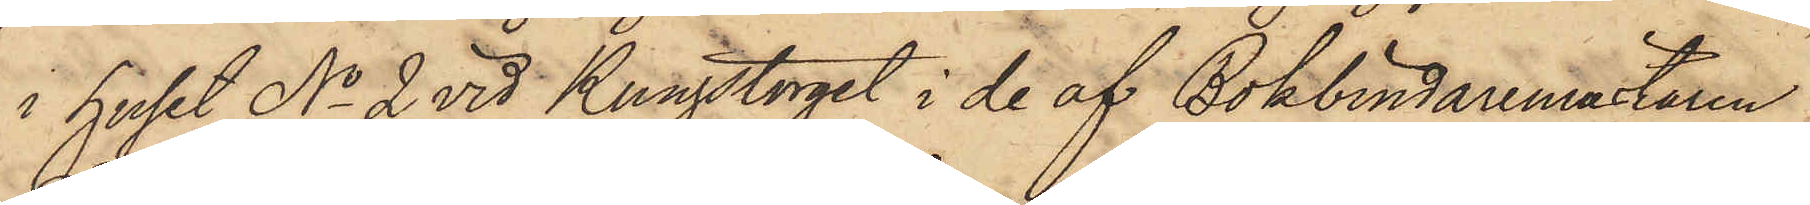i huset No 2 vid Kungstorget i de af Bokbindaremästaren
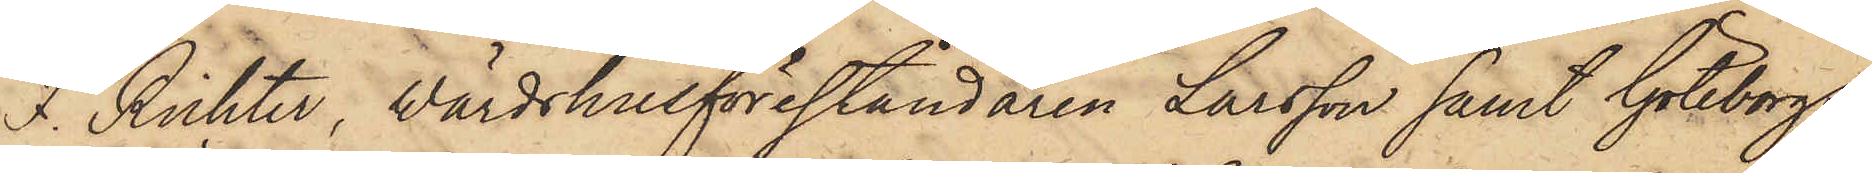F. Richter, Wärdshusföreståndaren Larsson samt Göteborgs
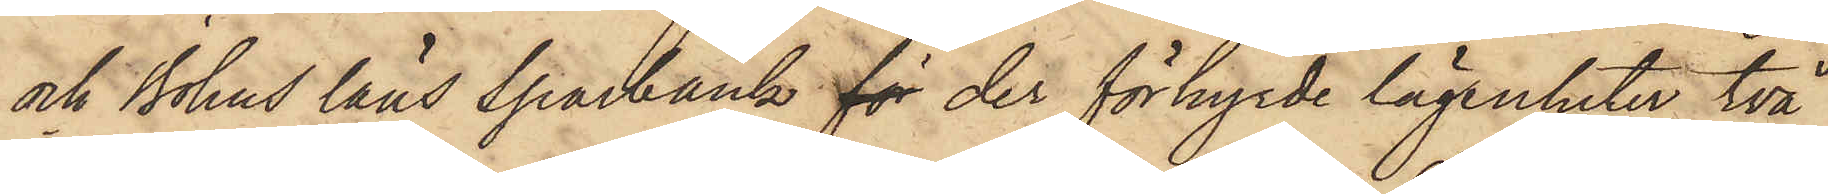och Bohus läns sparbank för der förhyrde lägenheter två
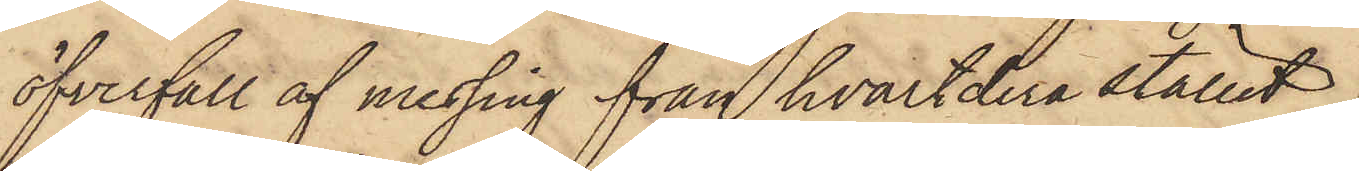öfverfall af messing från hvartdera stället,
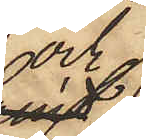och
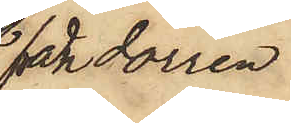från dörren
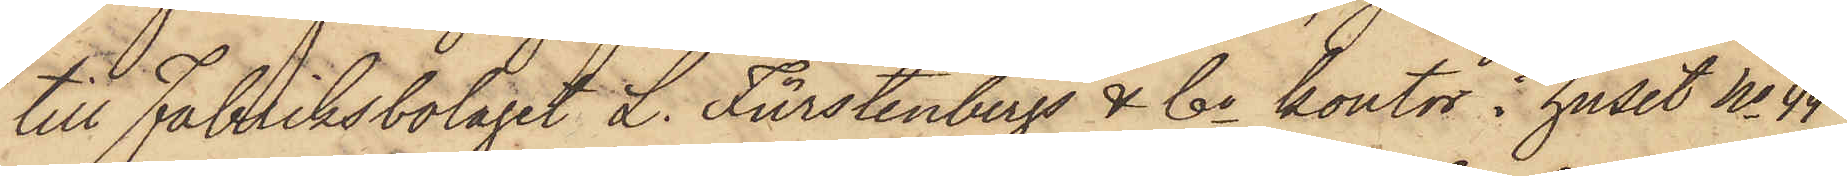till Fabriksbolaget L. Fürstenbergs & Co kontor i huset No 44
